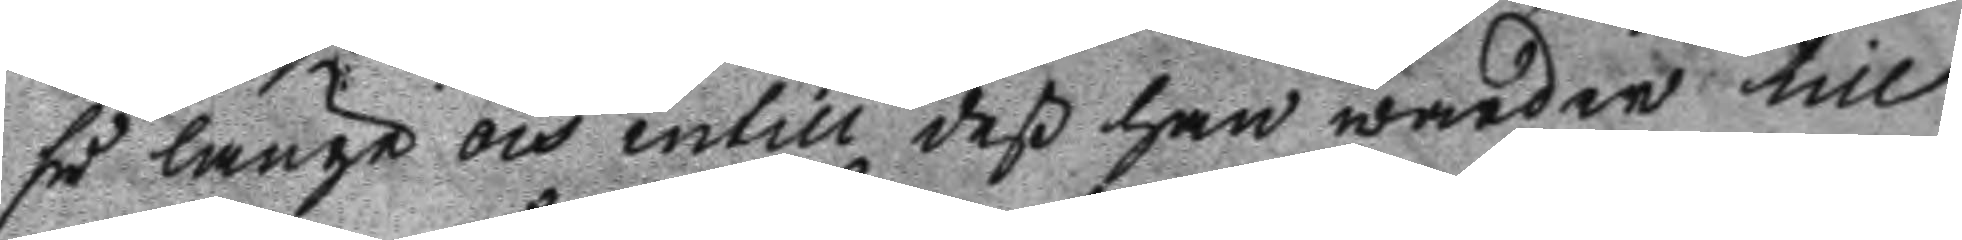så länge och intill deß han warder till
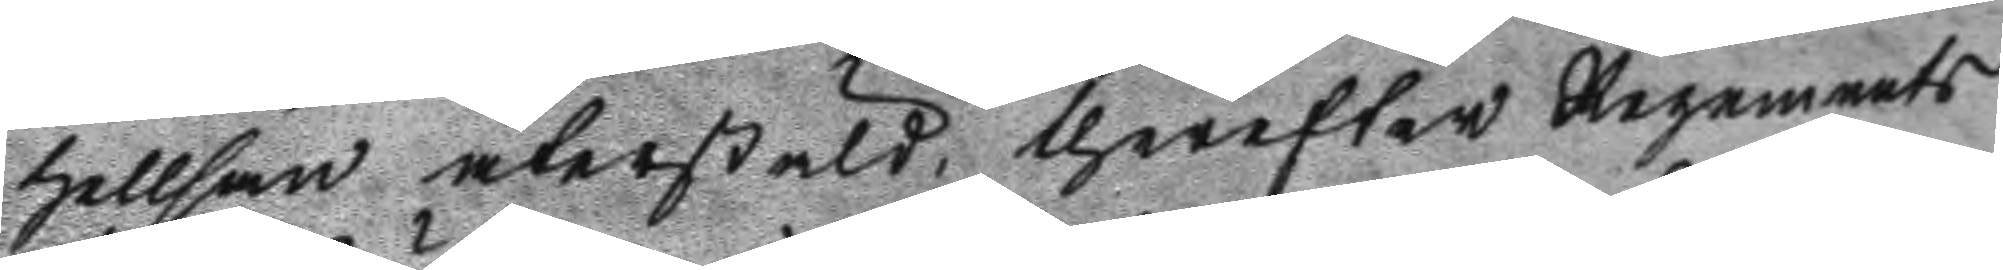hellsan återstäld, therefter Regements
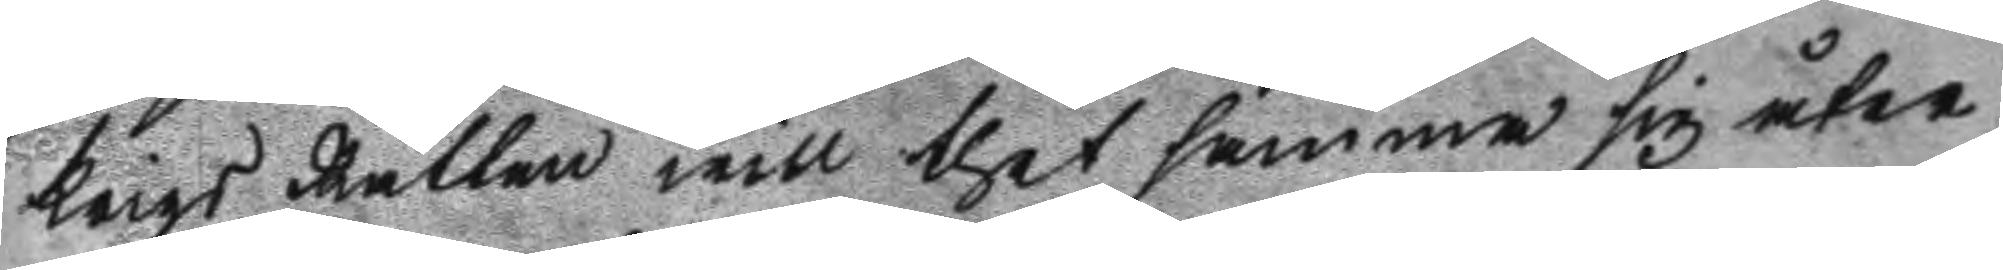Krigs Rätten will thet samma sig åter
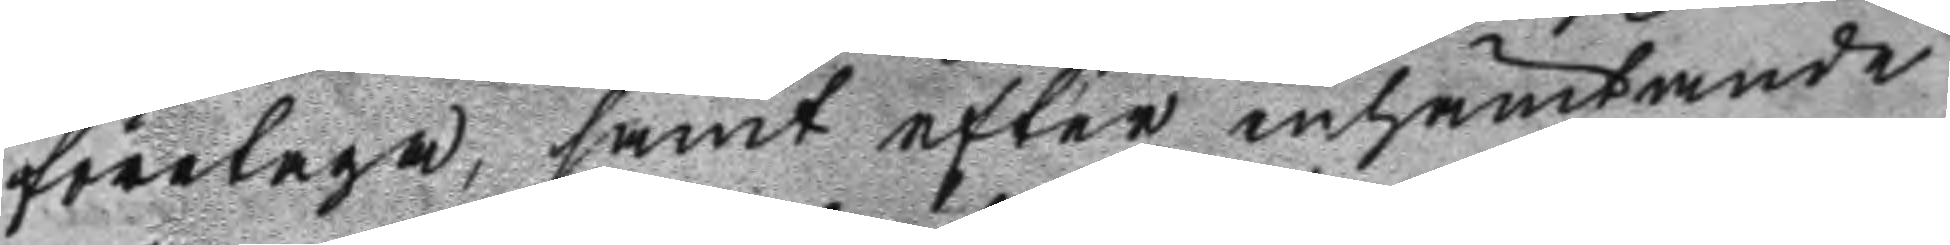företaga, samt efter inhämtande
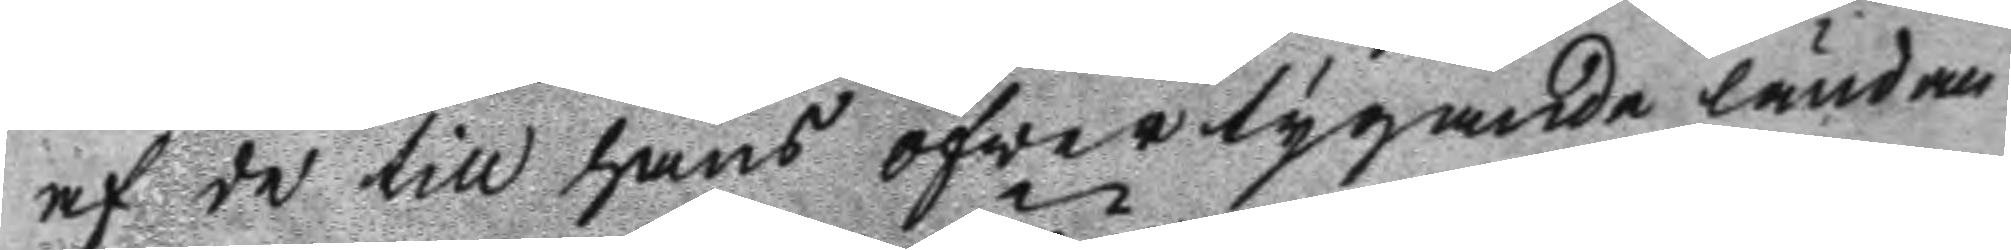af de till hans öfwertygande ländan
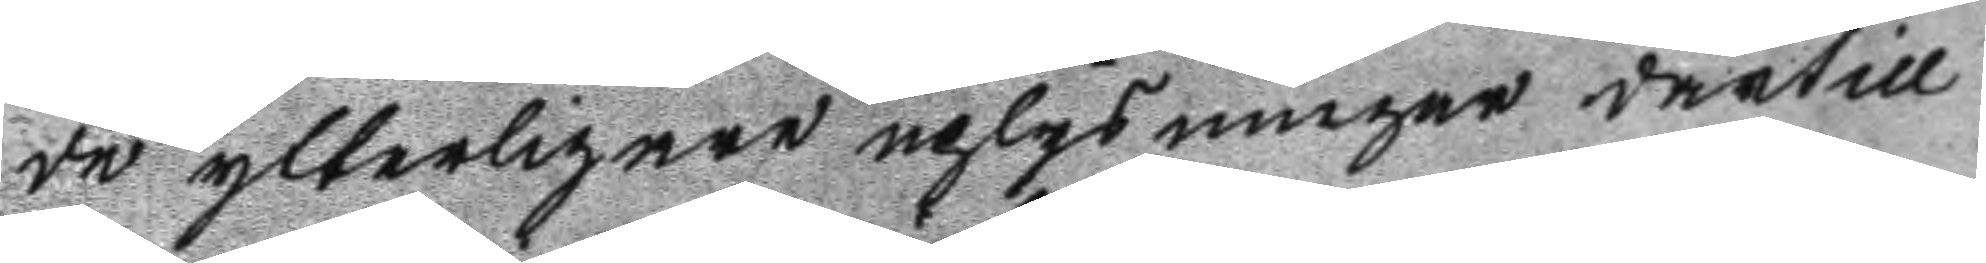de ytterligare uplysningar därtill
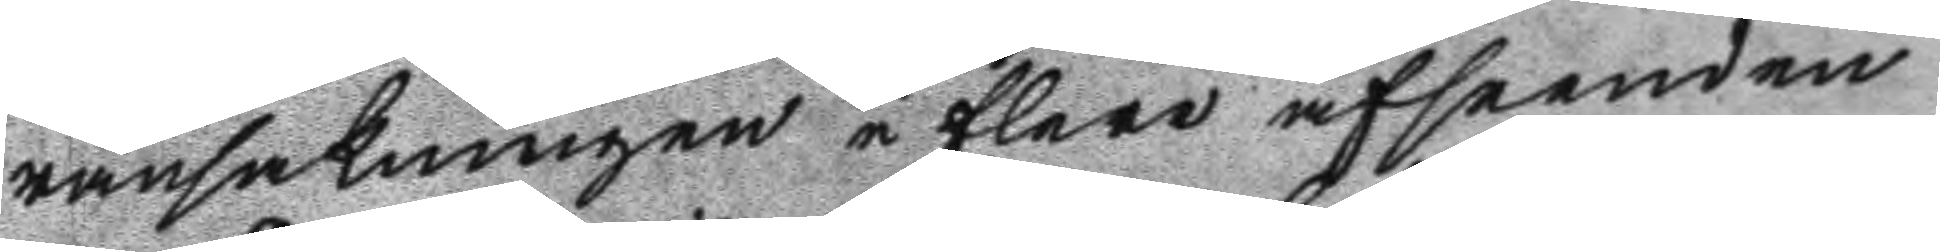ransakningen i flere afseenden
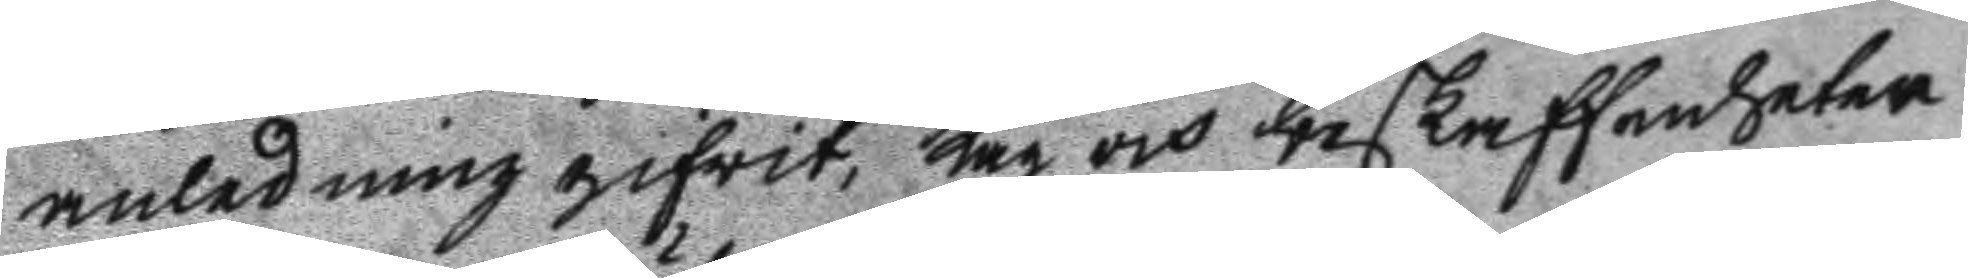anledning gifwit, Lag och beskaffenheter
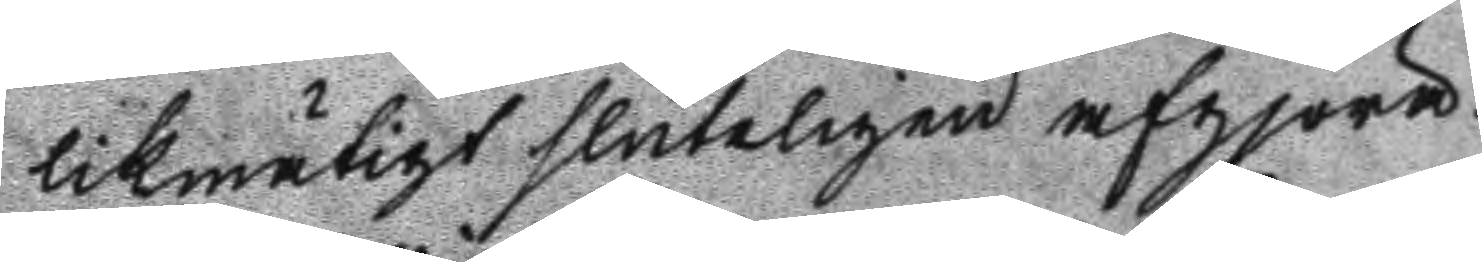likmätigt slutligen afgjöra.
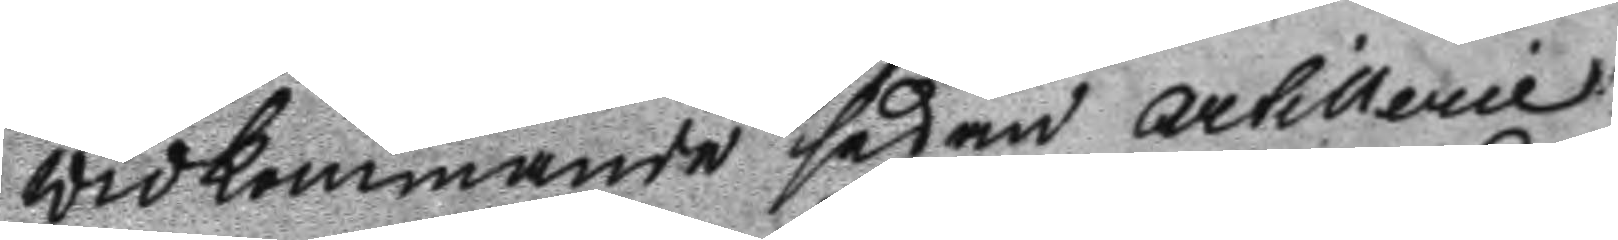Widkommande sedan artillerie
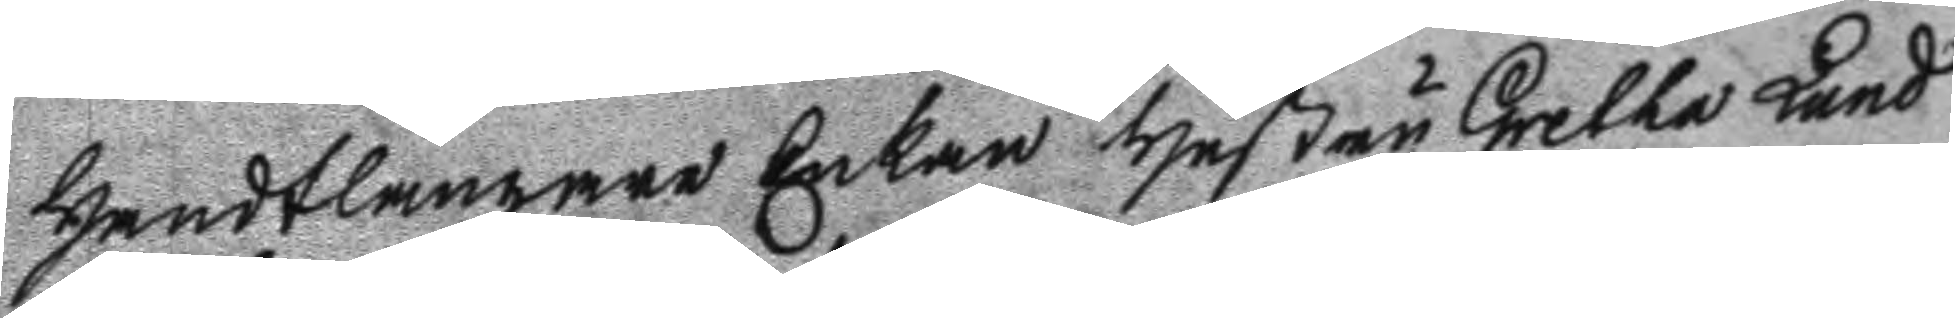Handtlanagre Enkan Hustru Gretha Lund
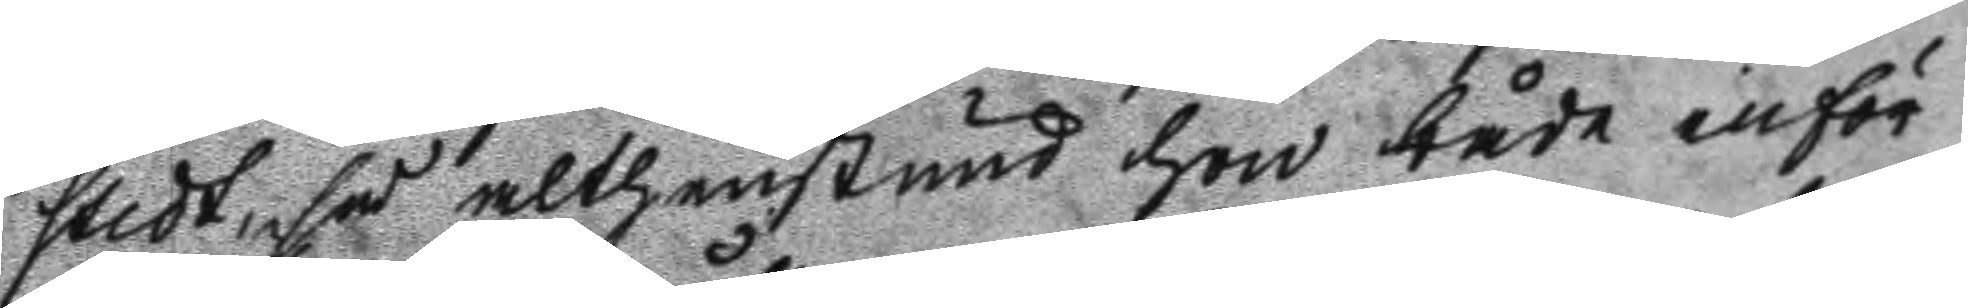stedt, så althenstund hon både inför
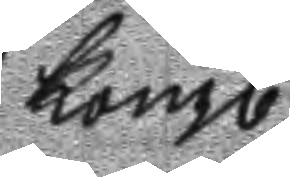Kongl. 
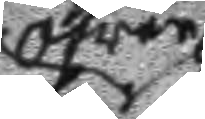öfwer
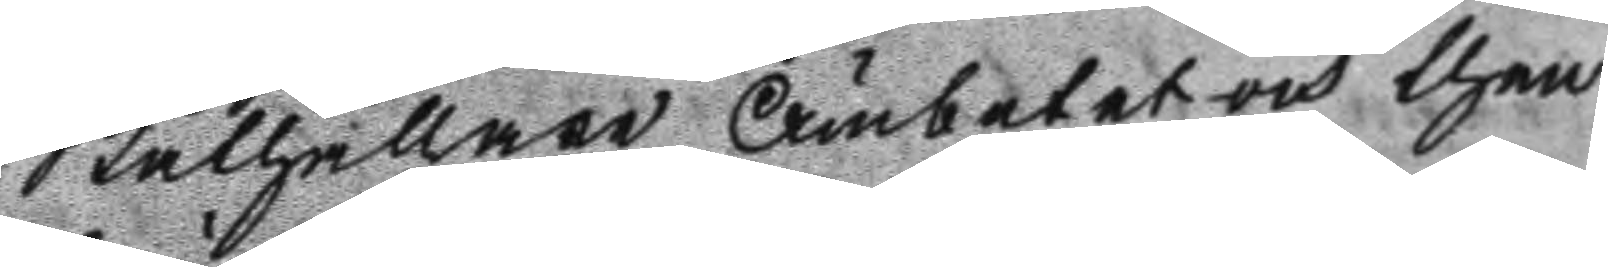Ståthållare Ämbetet och then
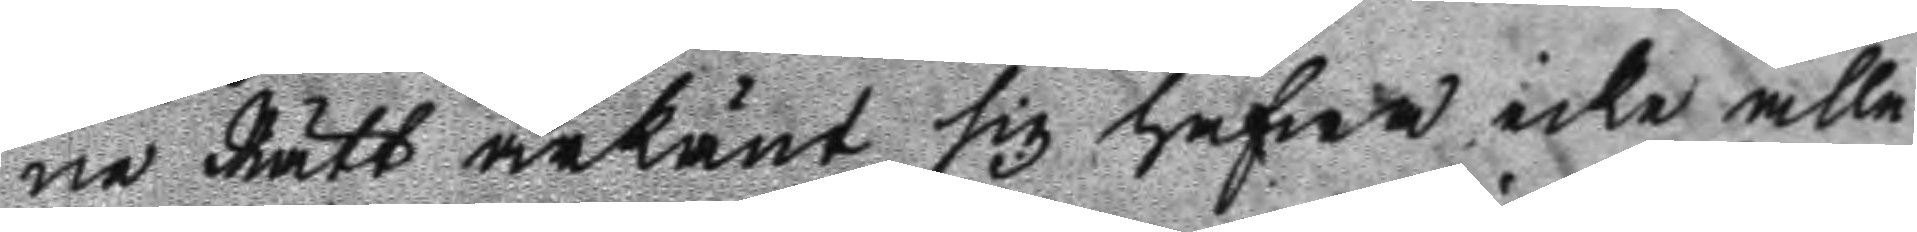ne Rätt ärkänt sig hafwa icke alle
